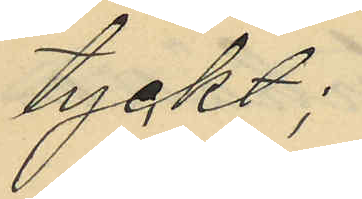tygds;
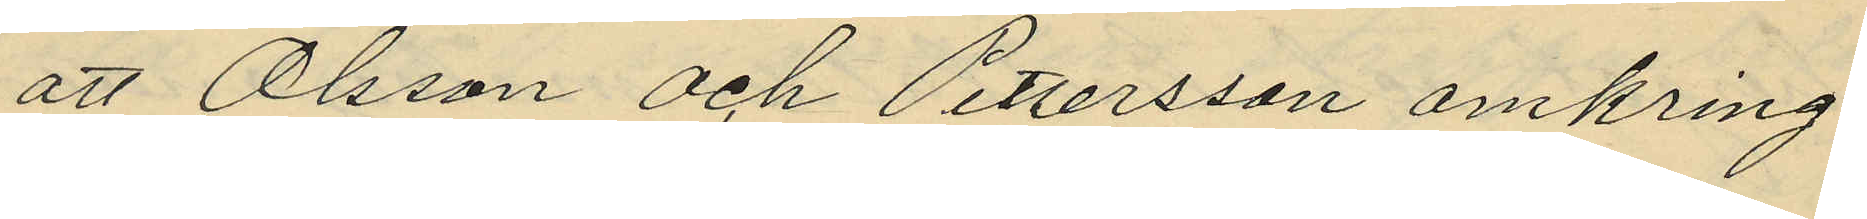att Olsson och Pettersson omkring
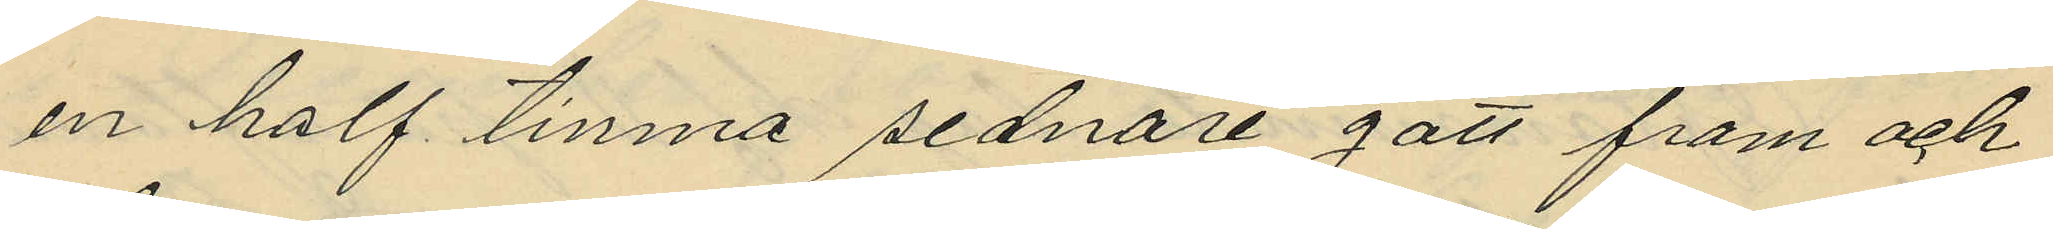en half timma sednare gått fram och
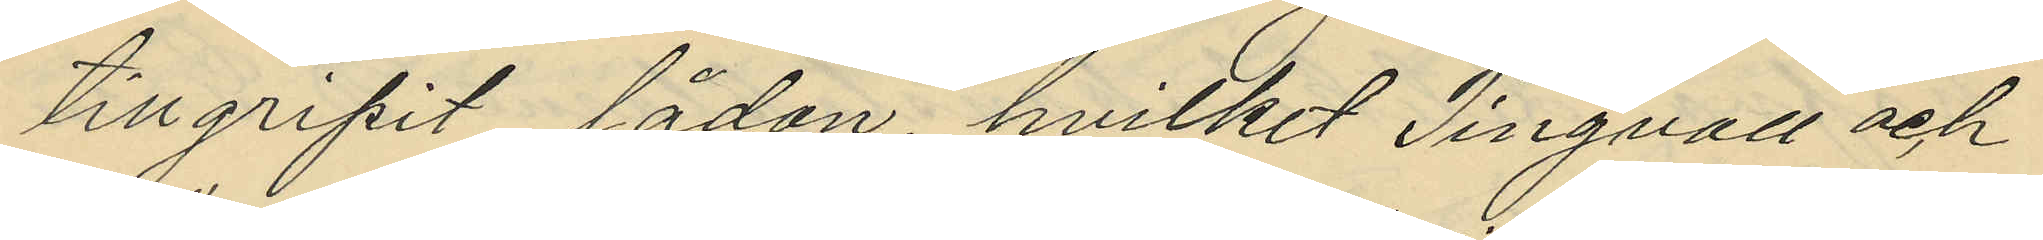tillgripit lådan, hvilket Tingvall och
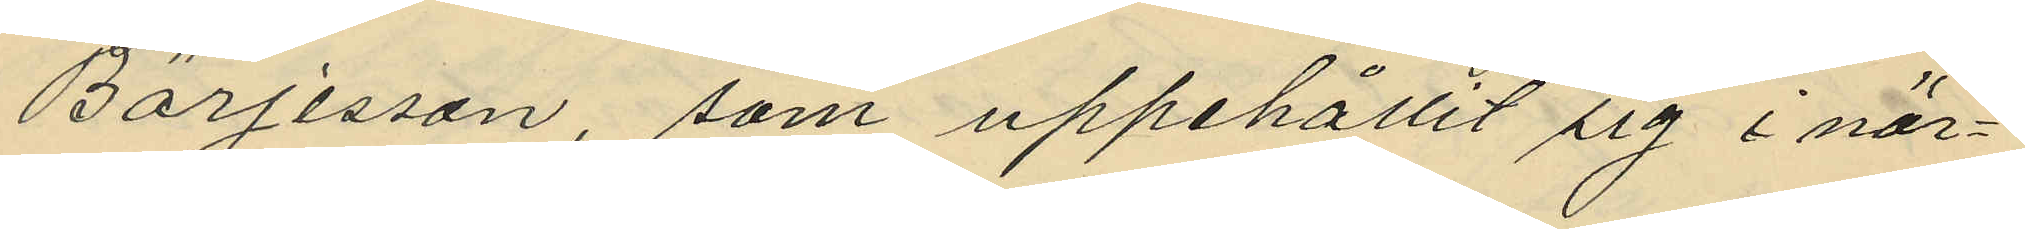Börjesson, som uppehållit sig i när¬
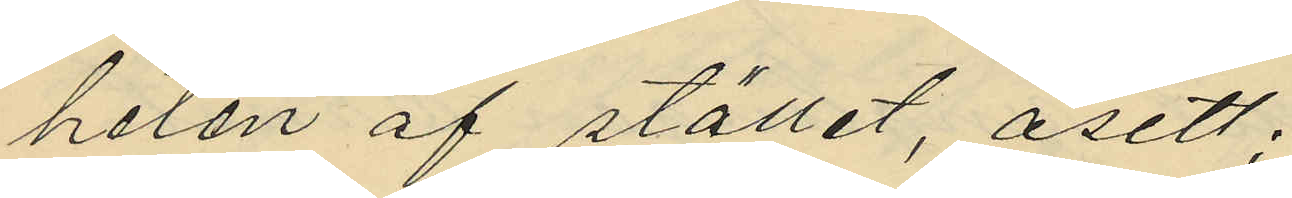helen af stället, åsett;
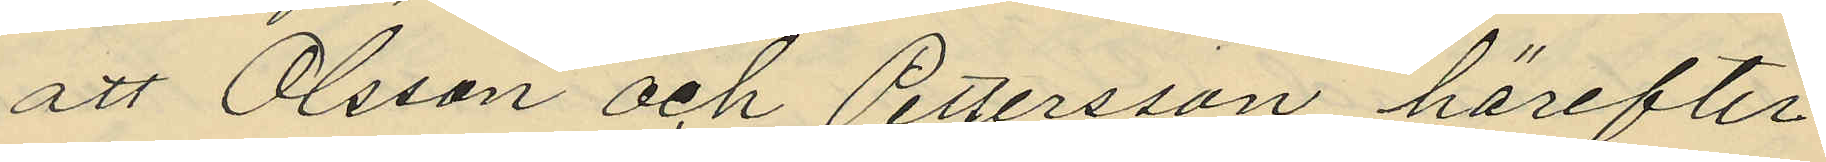att Olsson och Pettersson härefter
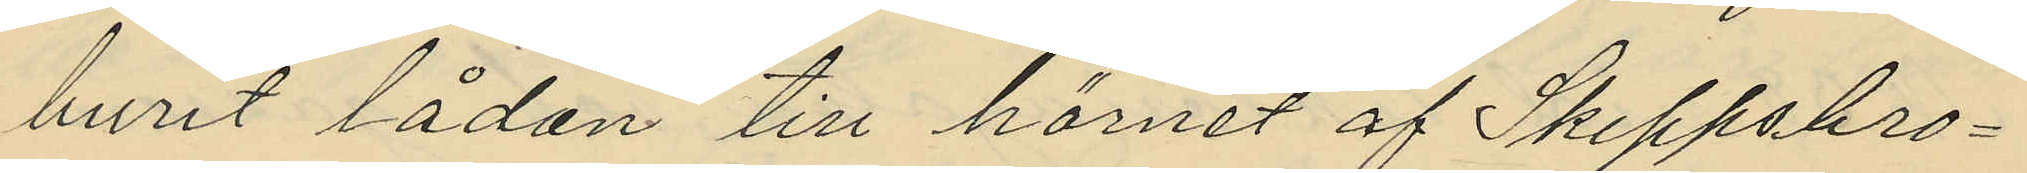burit lådan till hörnet af Skeppsbro¬
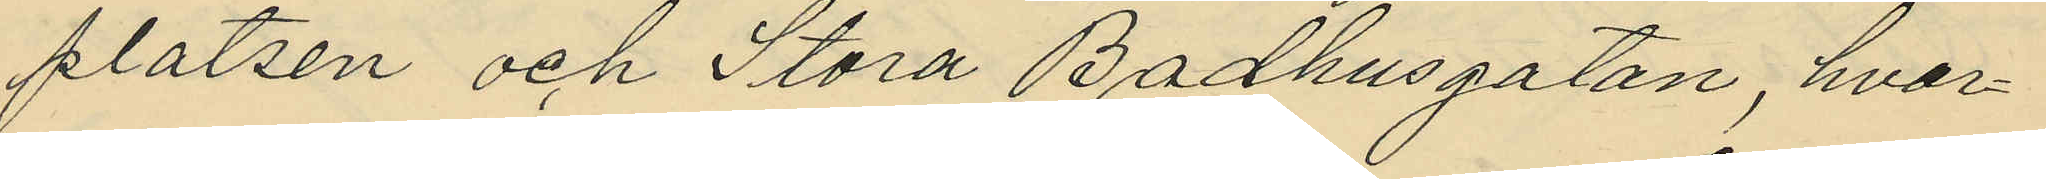platsen och Stora Bådhusgatan, hvar¬
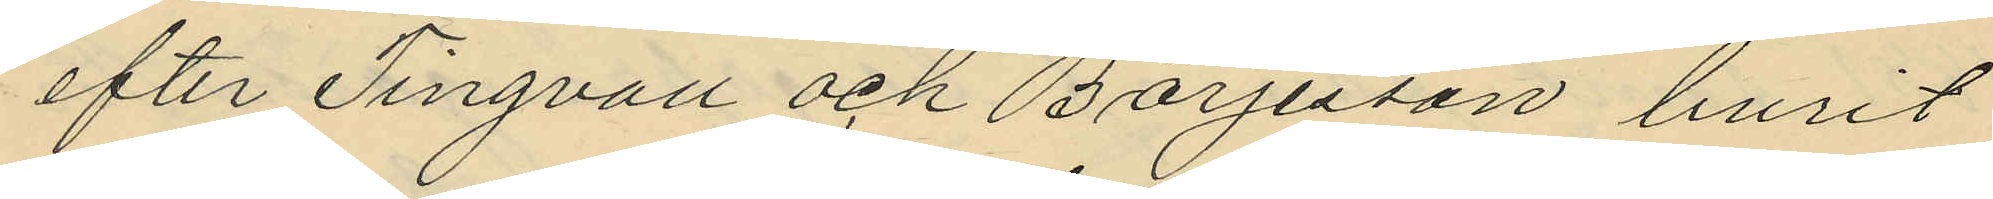efter Tingvall och Börjesson burit
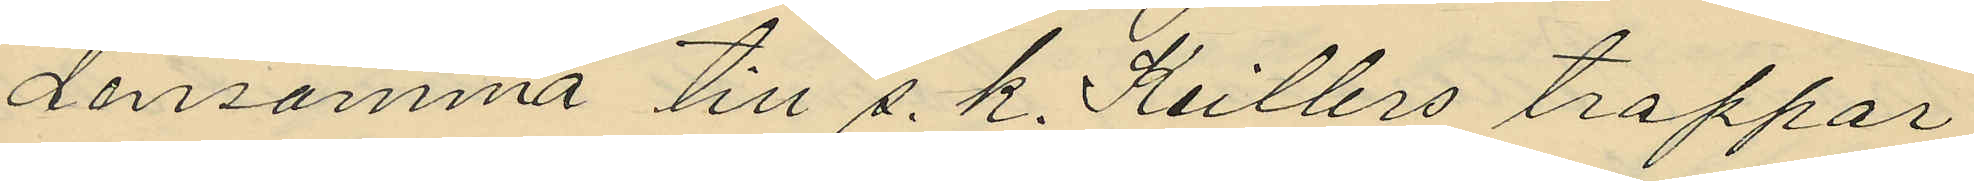densamma till s. k. Keilbro trappor
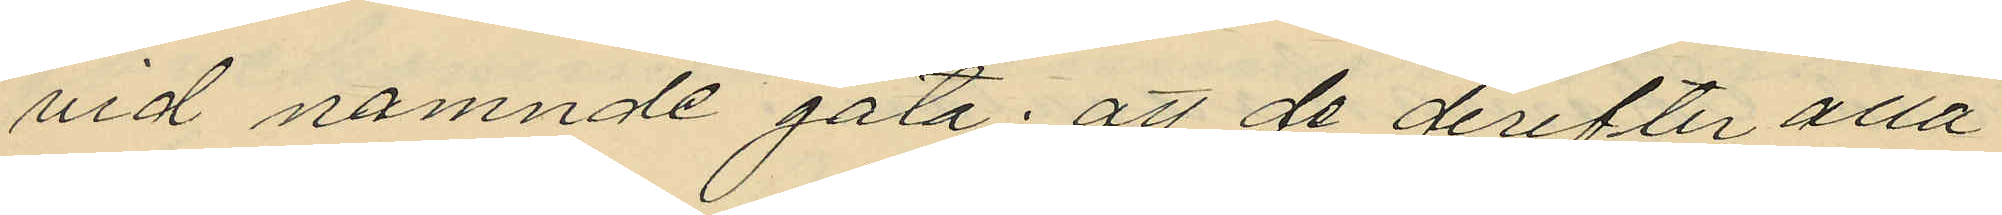vid nämnde gata; att de derefter alla
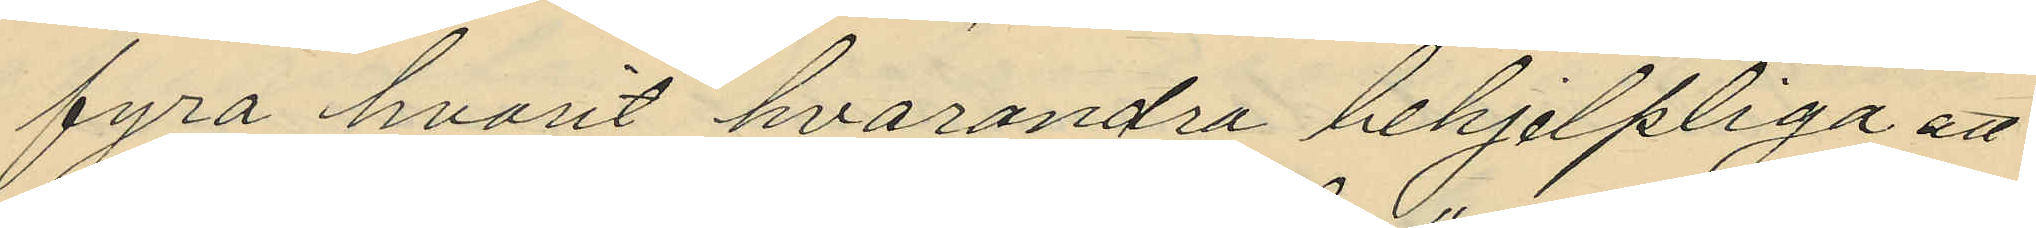fyra hvarit hvarandra behjelpliga att
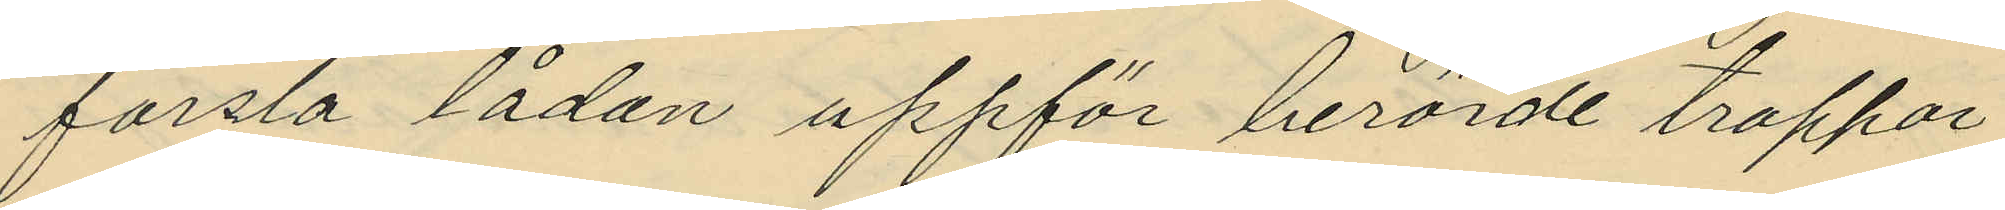forsla lådan uppför berörde trappor
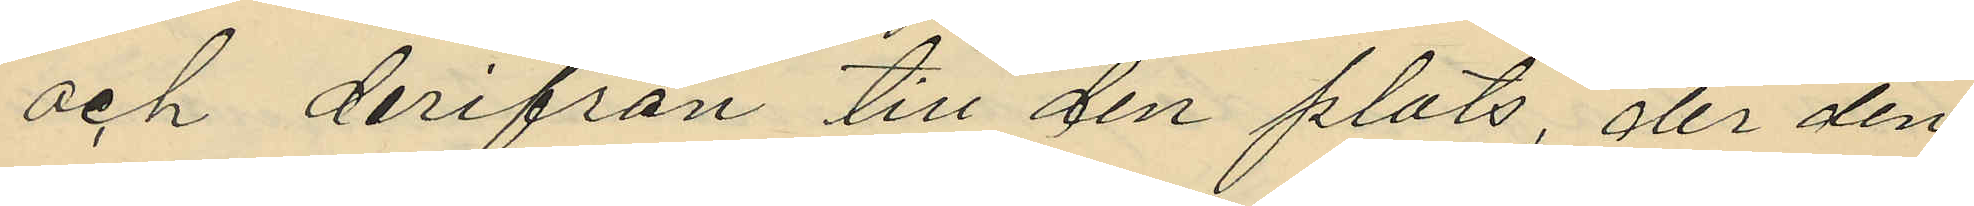och derifrån till den plats, der den
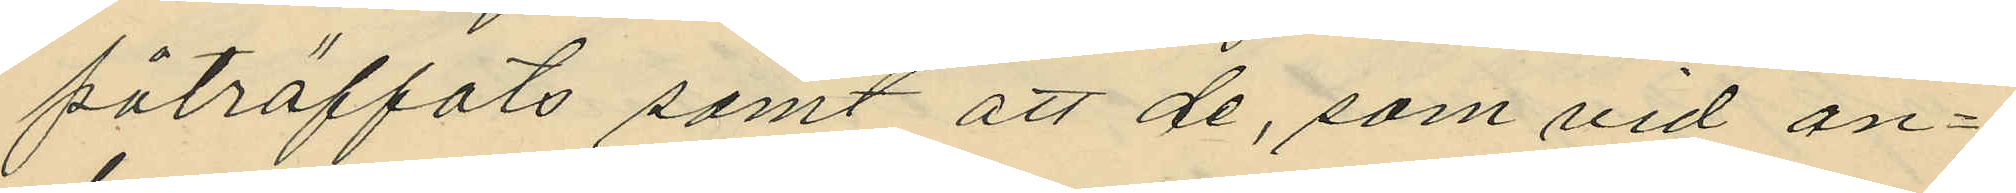påträffats samt att de, som vid an¬
